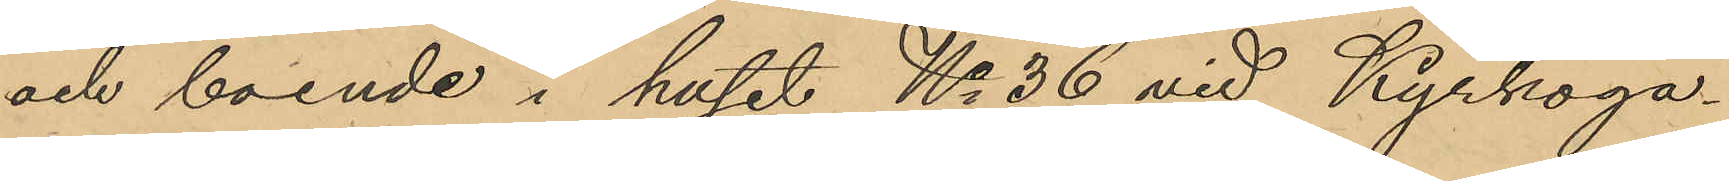och boende i huset No 36 vid Kyrkoga¬
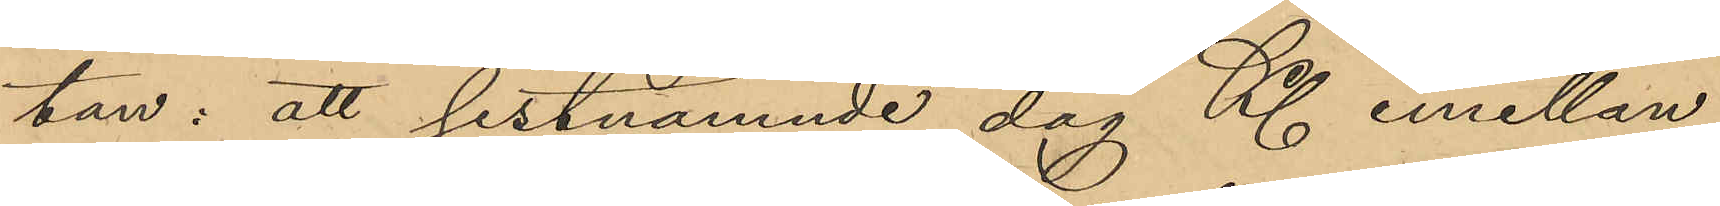tan: att sistnämnde dag Kl. emellan
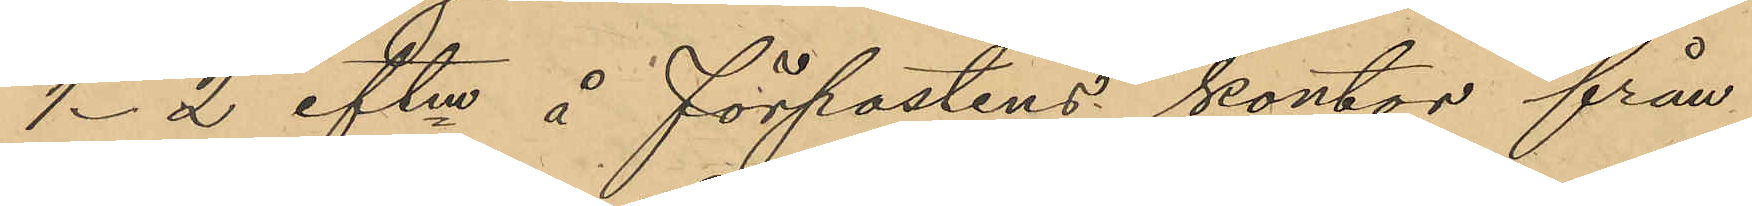1-2 eftm å förpostens kontor från
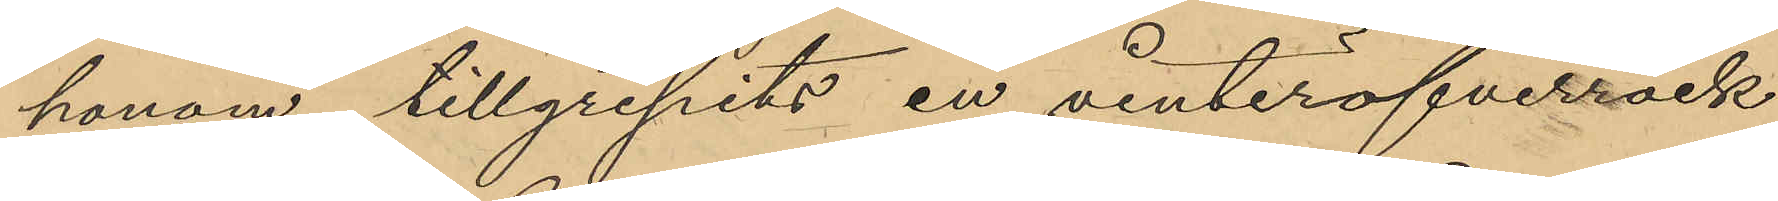honom tillgripits en vinteröfverrock
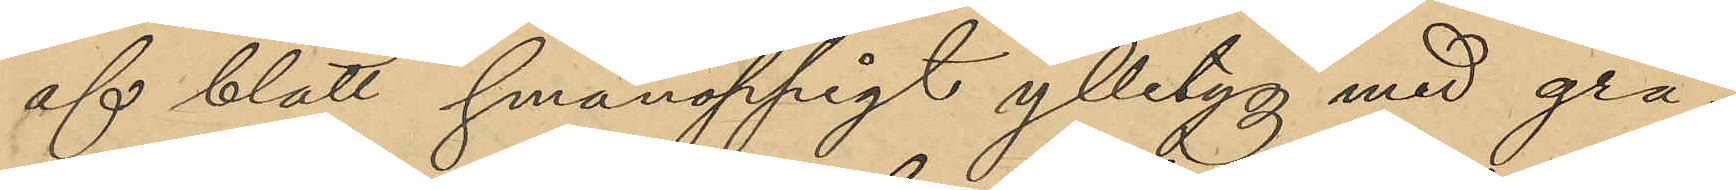af blått smånoppigt ylletyg med grå¬
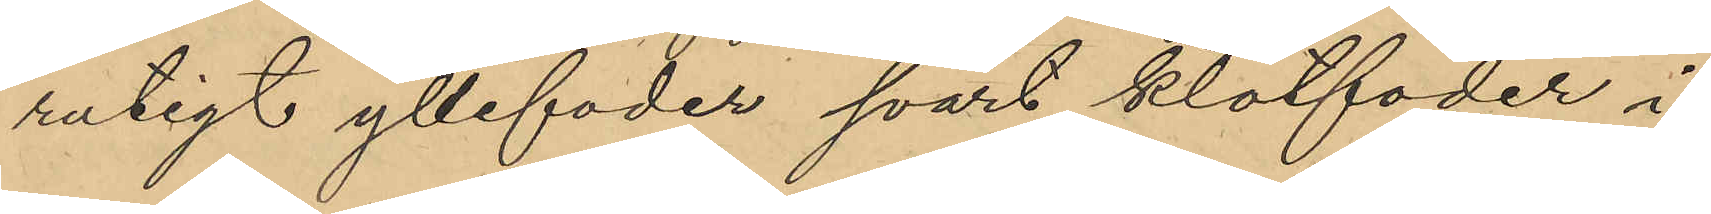rutigt yllefoder svart klotfoder i
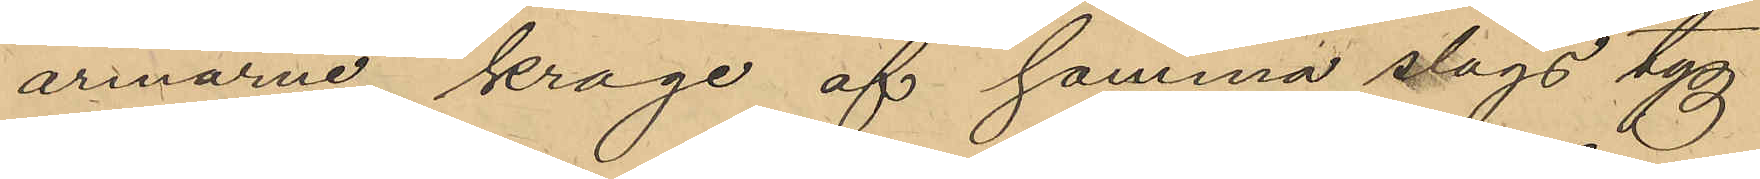armarne, krage af samma slags tyg
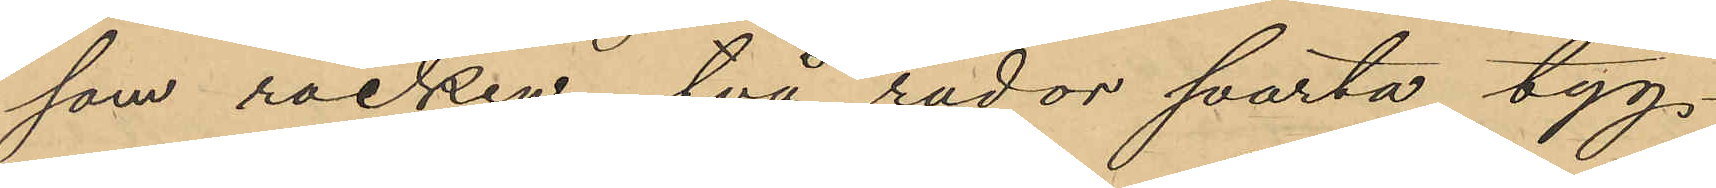som rocken, två rador svarta tyg¬
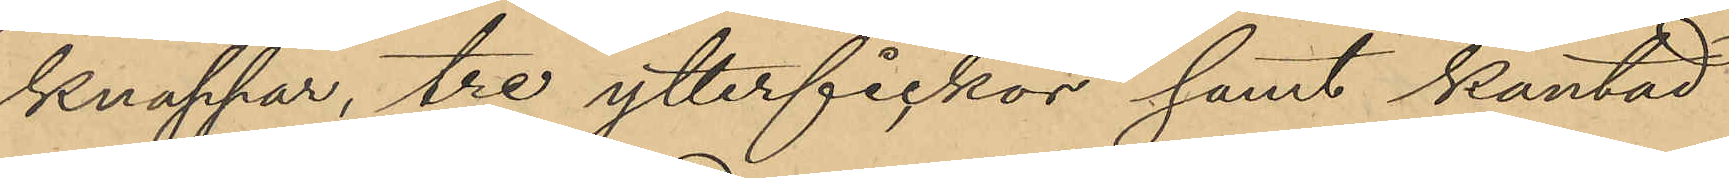knappar, tre ytterfickor samt kantad
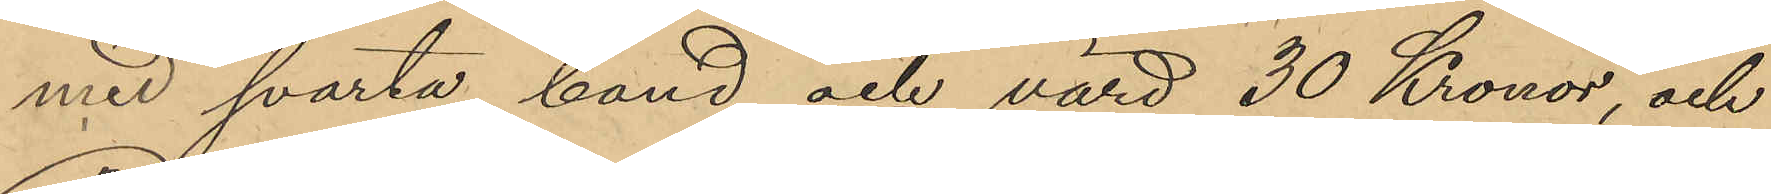med svarta band och värd 30 Kronor, och
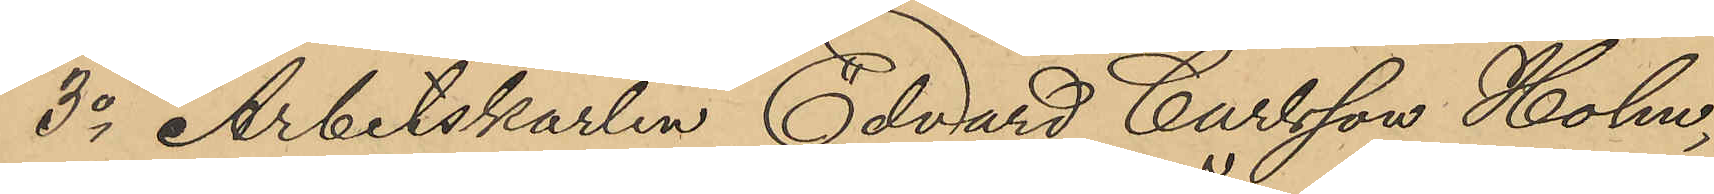3o Arbetskarlen Edvard Carlsson Holm,
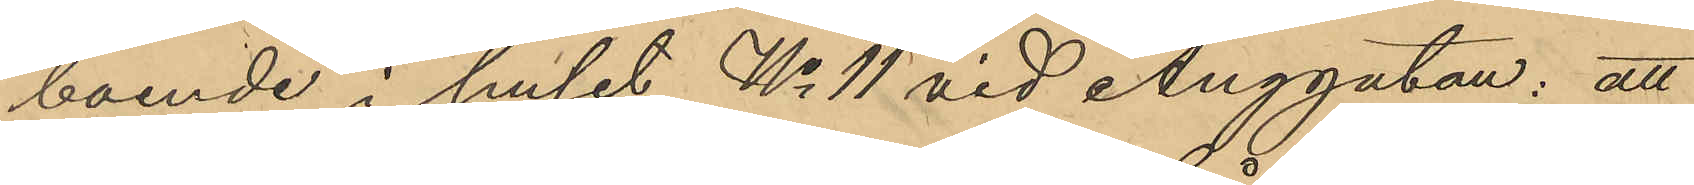boende i huset No 11 vid Änggatan: att
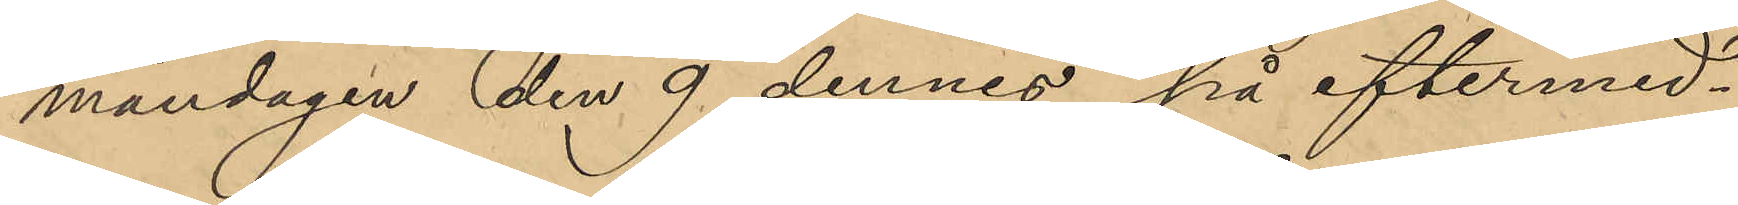måndagen den 9 dennes på eftermid¬
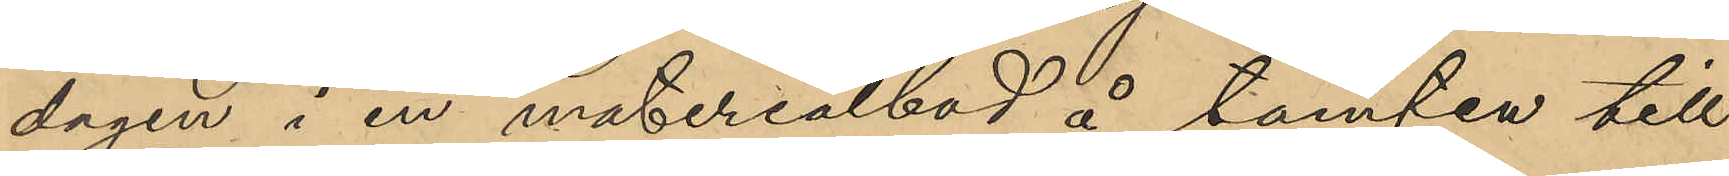dagen i en materialbod å tomten till
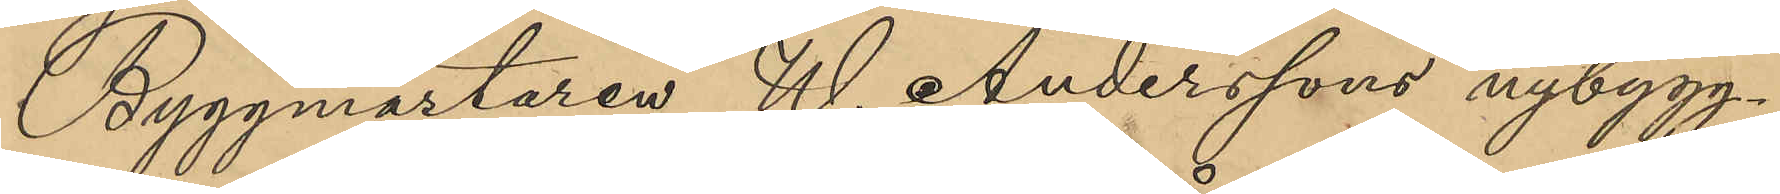Byggmästaren W. Anderssons nybygg¬
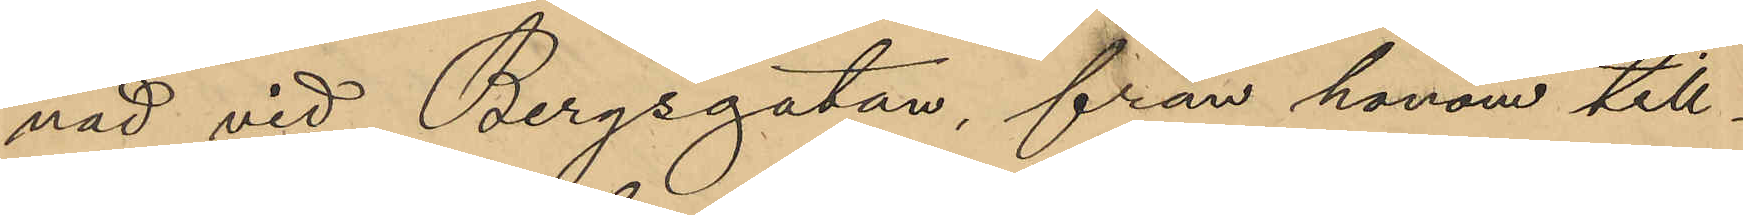nad vid Bergsgatan, från honom till¬
